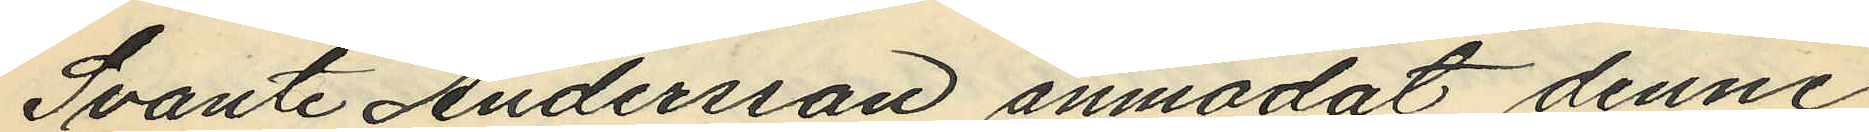Svante Andersson anmodat denne
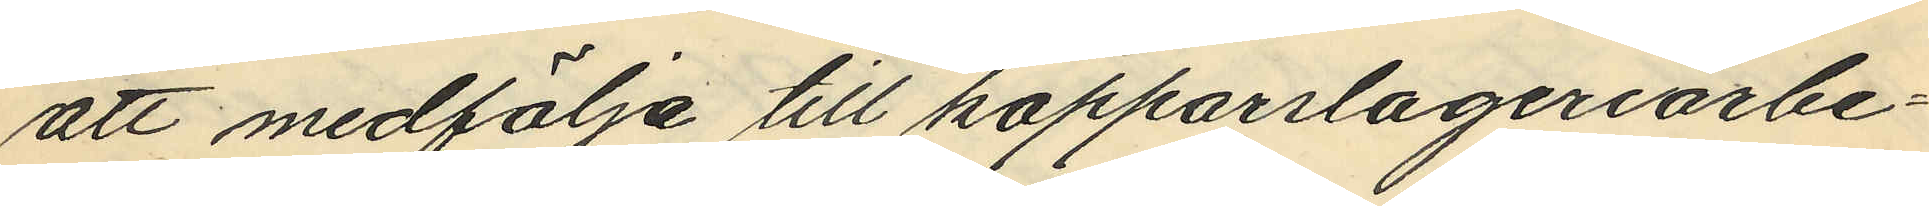att medfölja till kopparslageriarbe¬
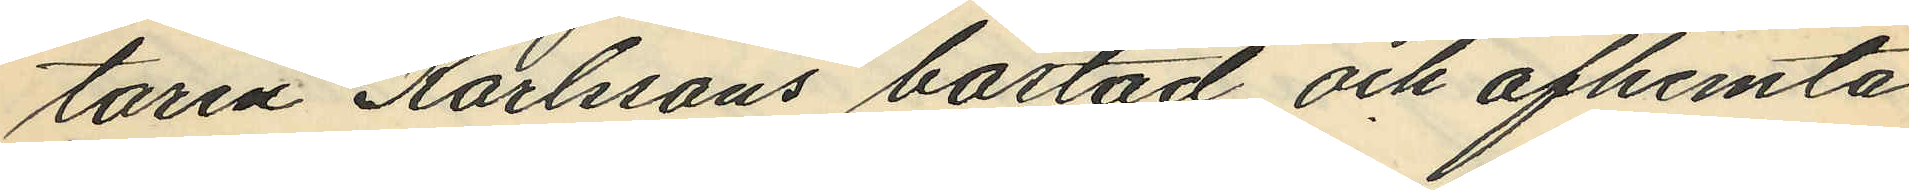taren Karlssons bostad och afhemta
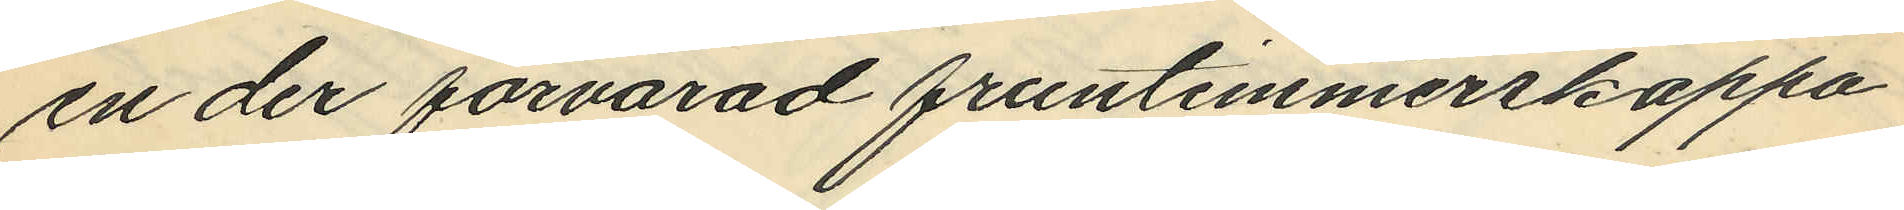en der förvarad fruntimmerskappa
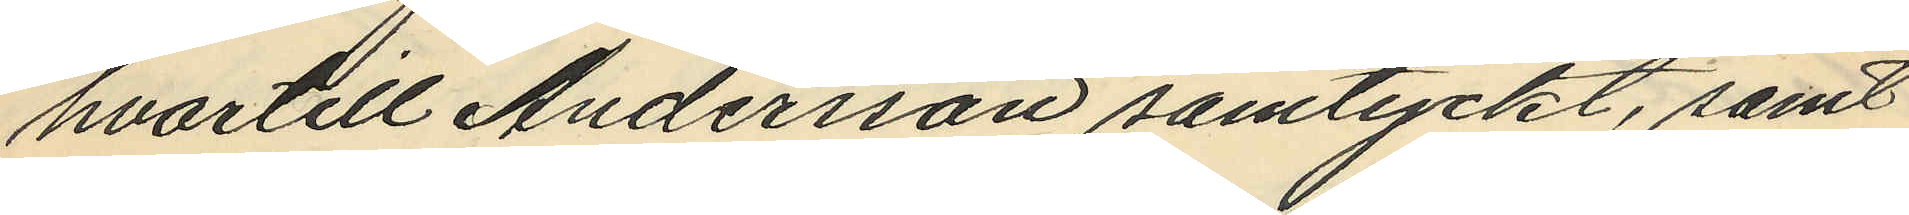hvartill Andersson samtyckt, samt
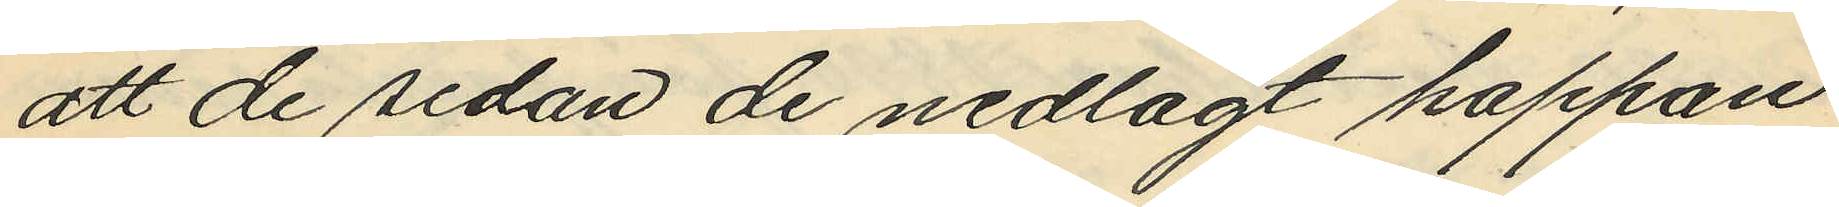att de sedan de nedlagt kappan
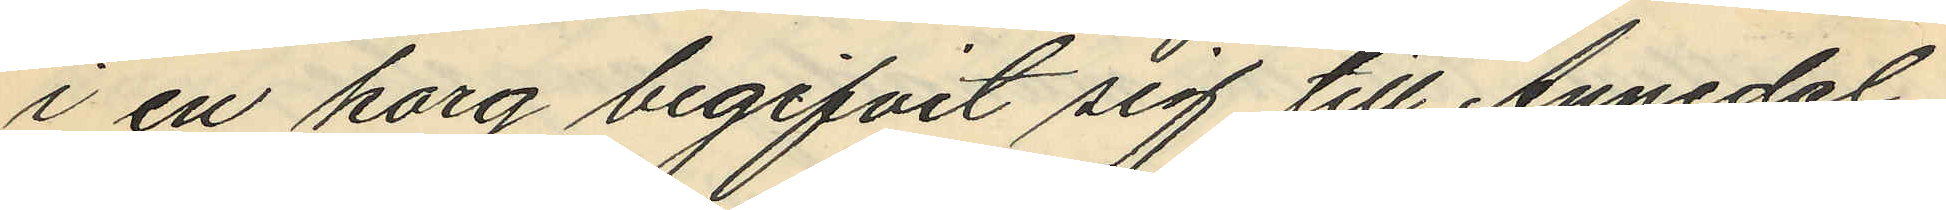i en korg begifvit sig till Annedal,
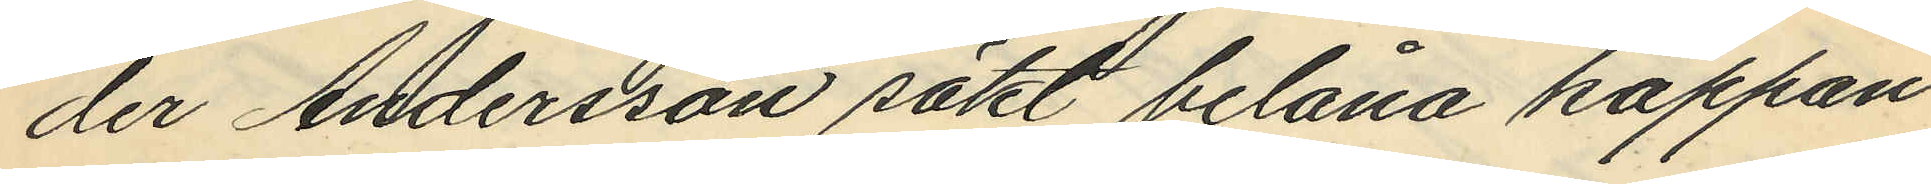der Andersson sökt belåna kappan
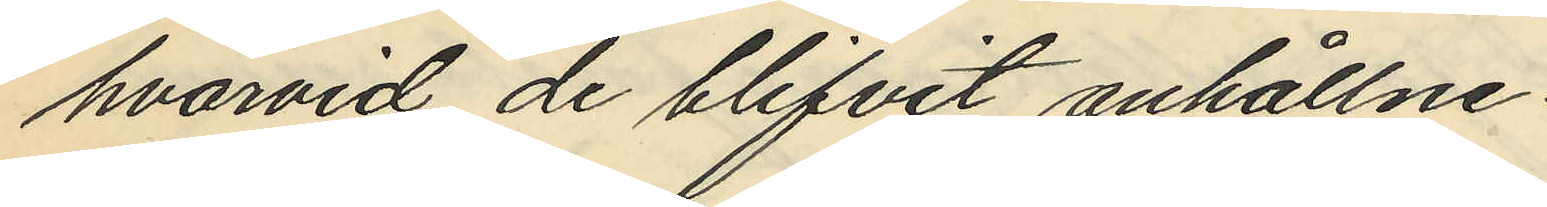hvarvid de blifvit anhållne.
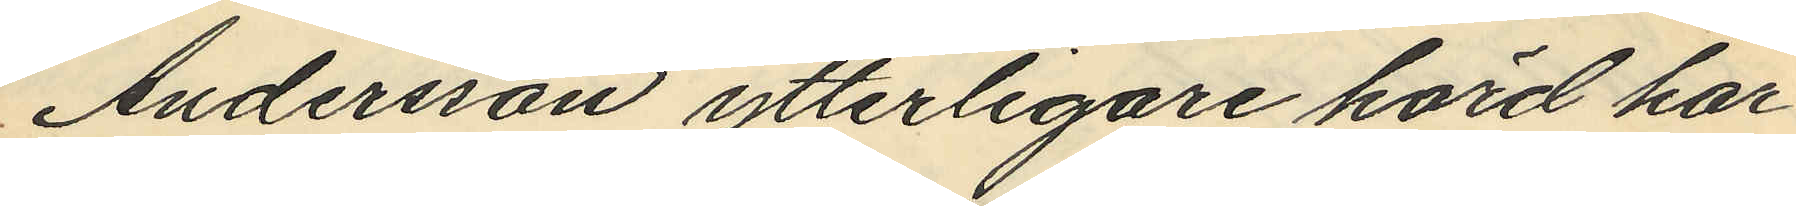Andersson ytterligare hörd har
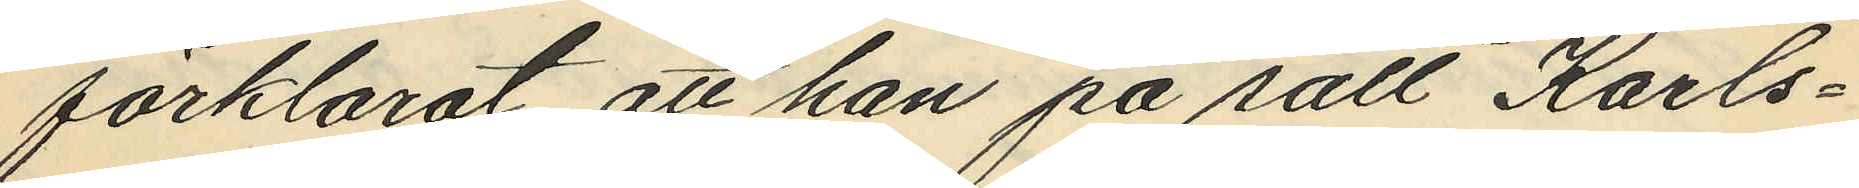förklarat att han på sätt Karls¬
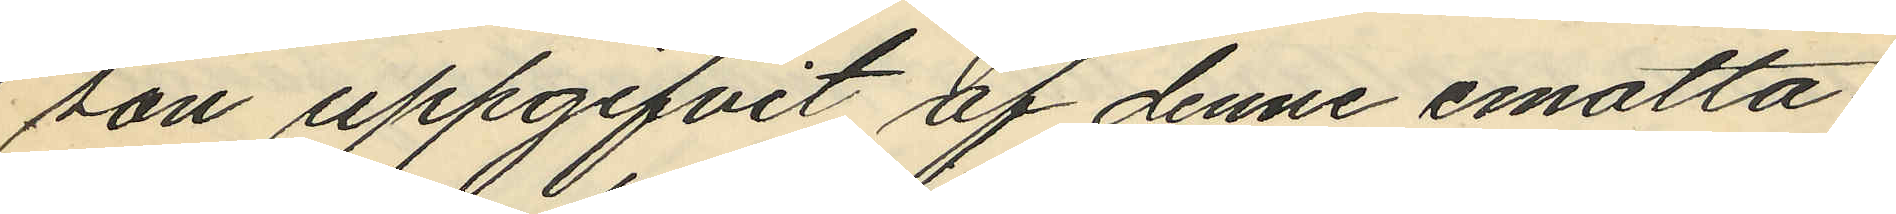son uppgifvit af denne emotta¬
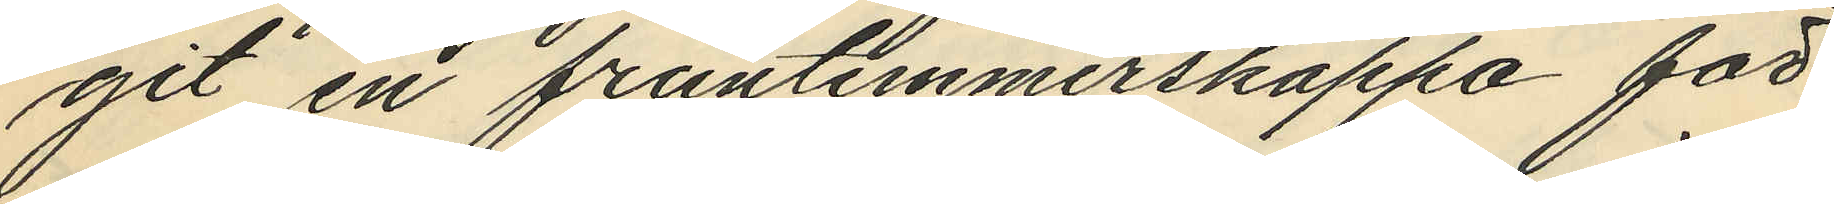git en fruntimmerskappa för
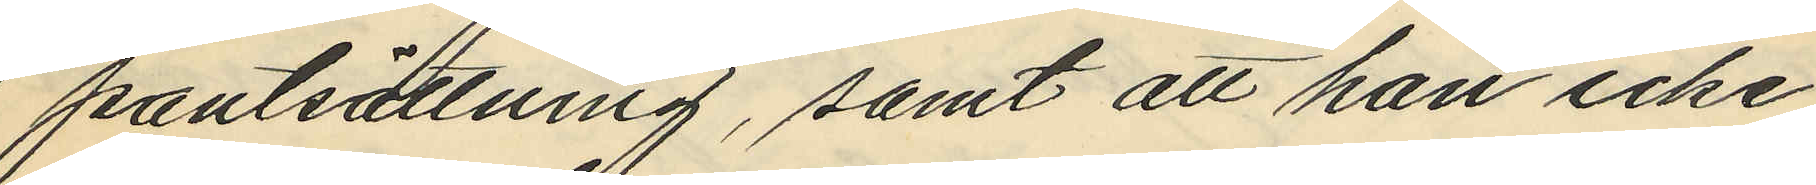pantsättning, samt att han icke
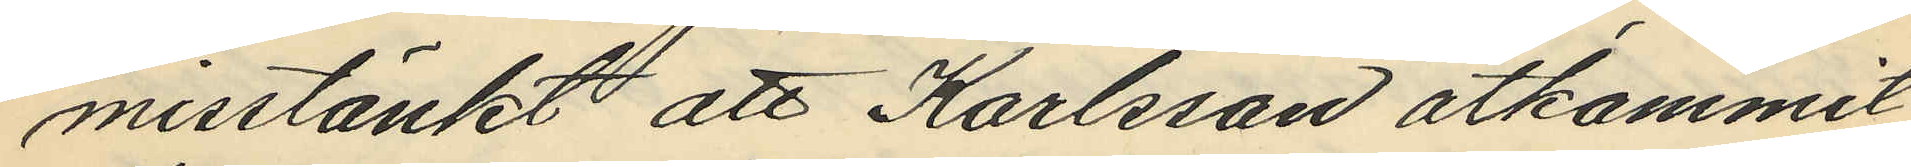misstänkt att Karlsson åtkommit
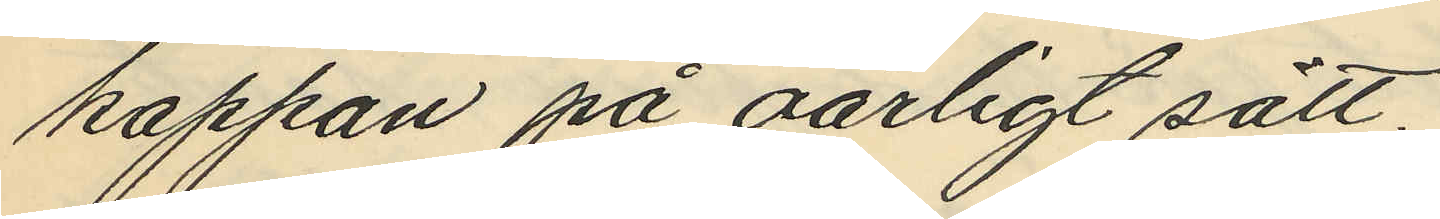kappan på oärligt sätt.
